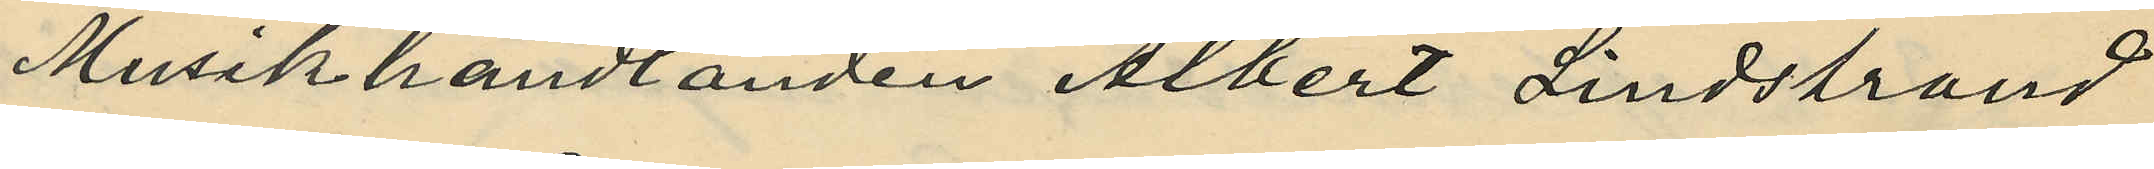Musikhandlanden Albert Lindstrand
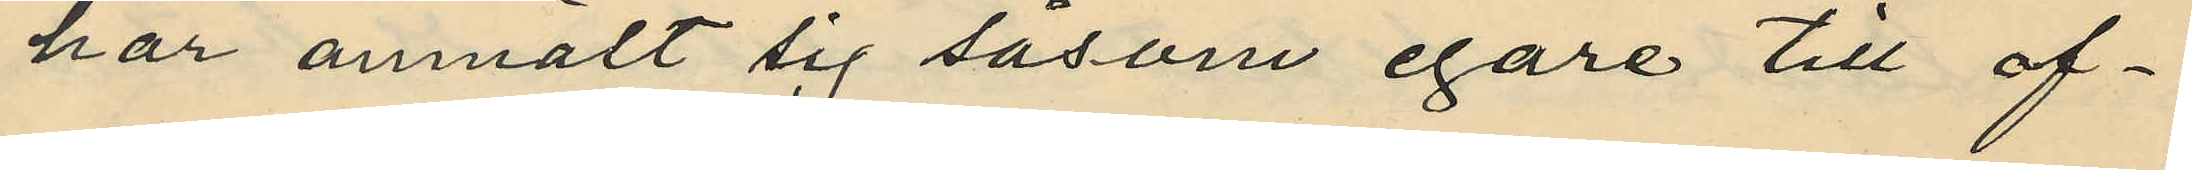har anmält sig såsom egare till of¬
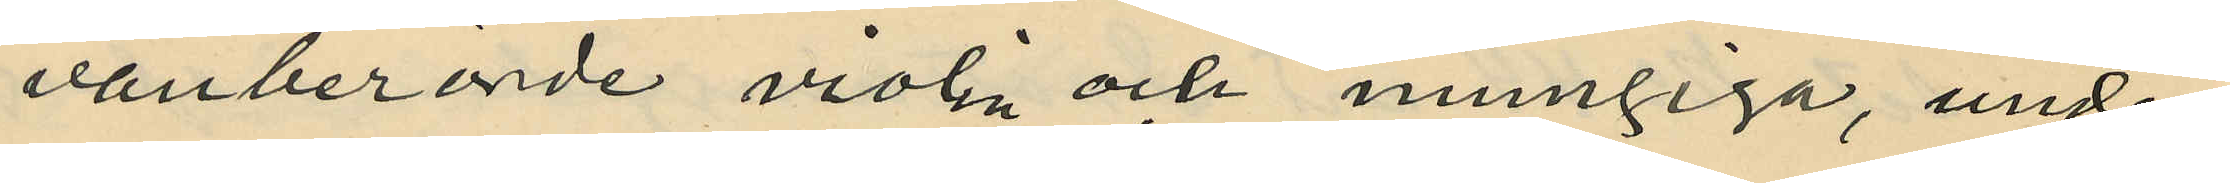vanberörde violin och mungiga, under
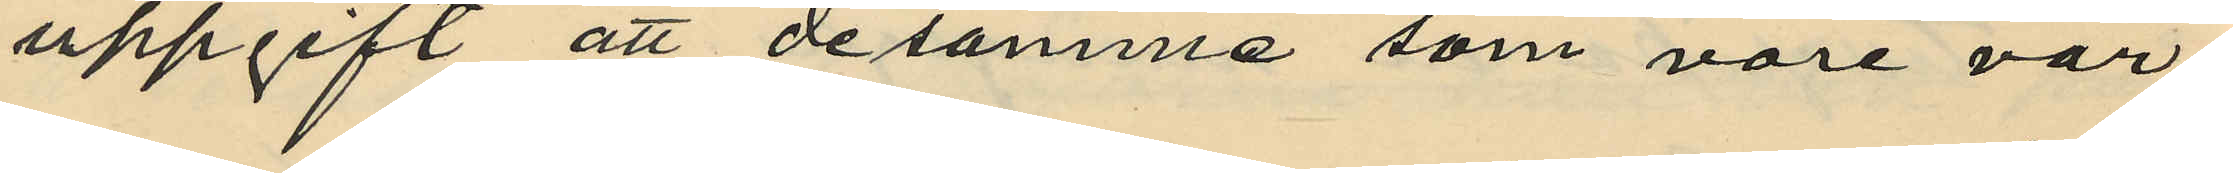uppgift att desamma som vore vär¬
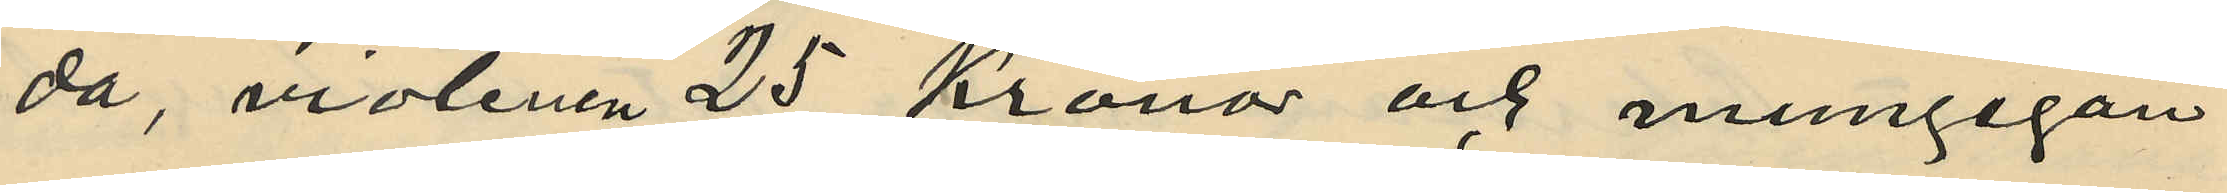da, violinen 25 Kronor och mungigan
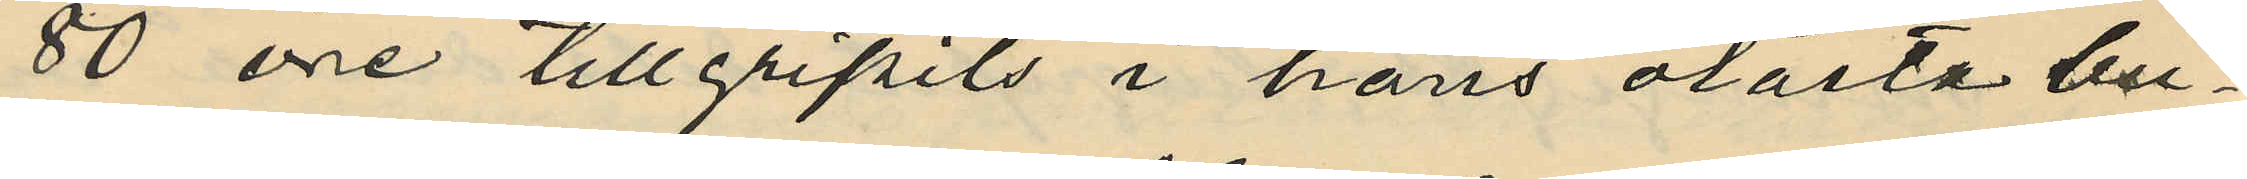80 öre tillgripits i hans olåsta bu¬
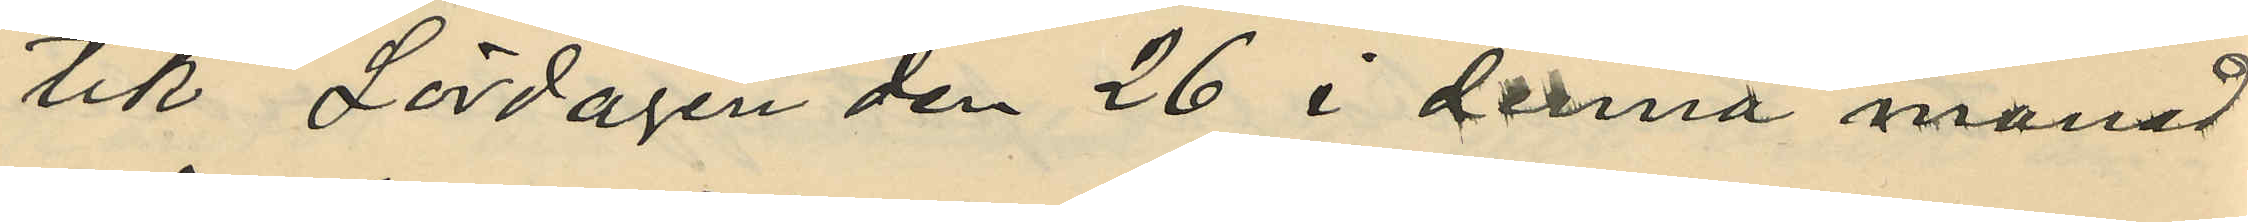tik Lördagen den 26 i denna månad
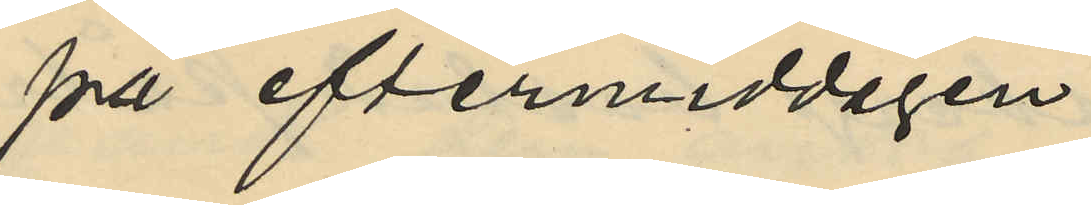på eftermiddagen.
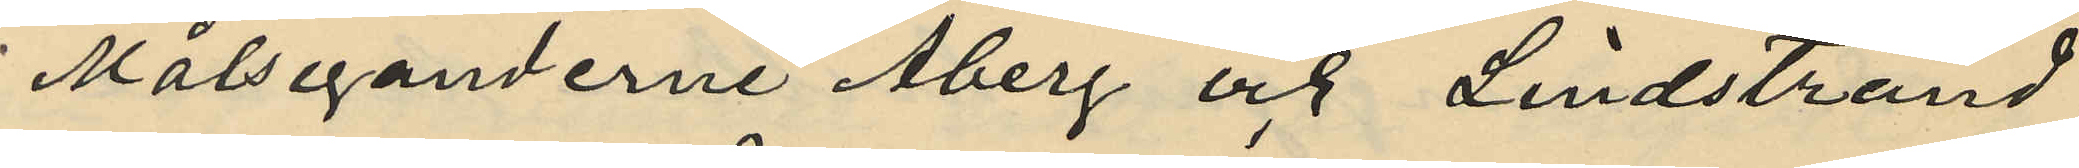Målseganderne Åberg och Lindstrand
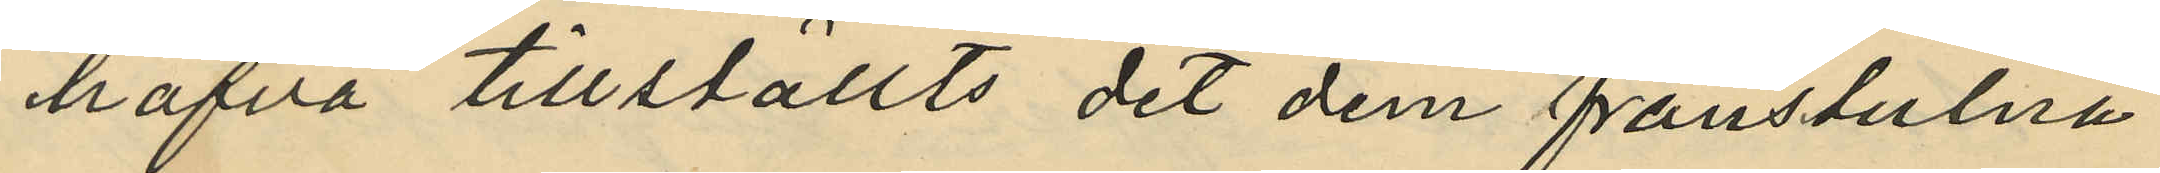hafva tillställts det dem frånstulna
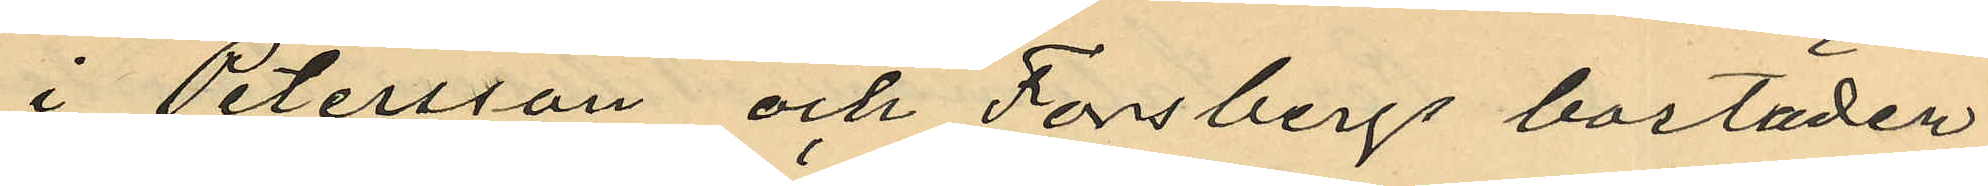i Petersson och Forsbergs bostäder
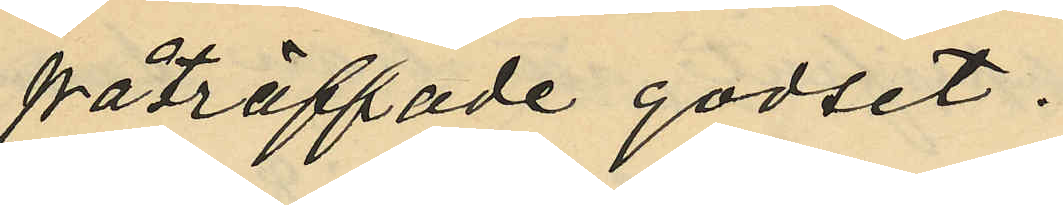påträffade godset.
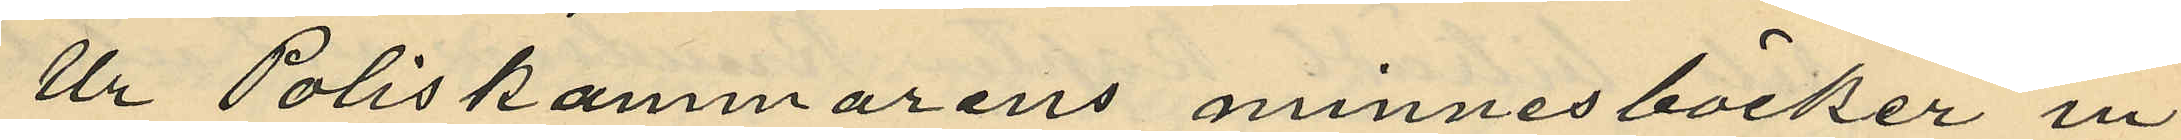Ur Poliskammarens minnesböcker in¬
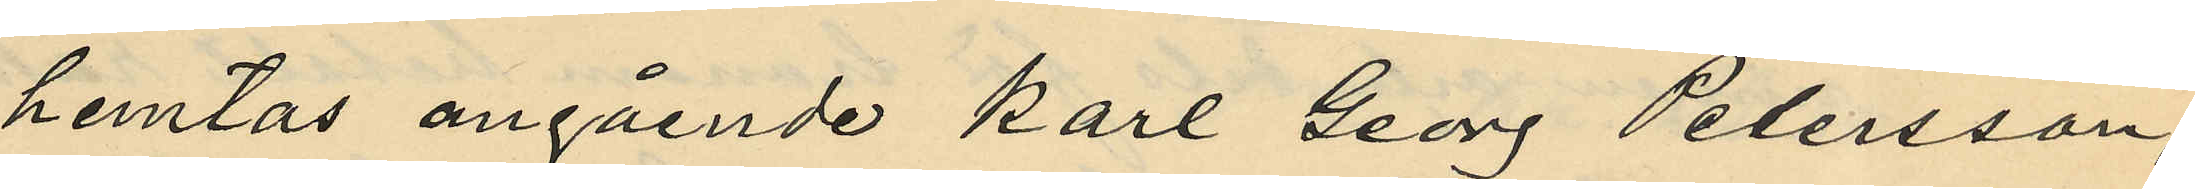hemtas angående Karl Georg Petersson,
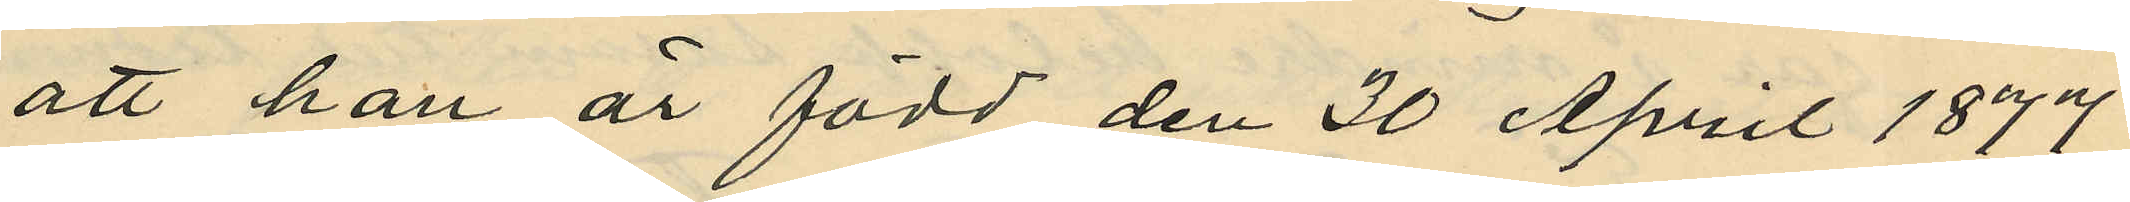att han är född den 30 April 1877
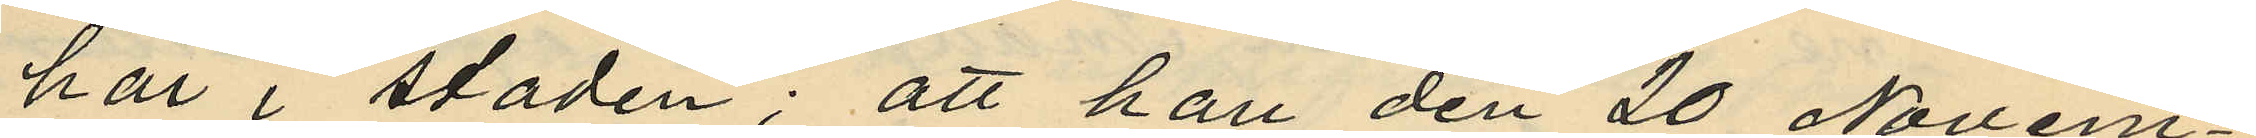här i staden; att han den 20 Novem¬
